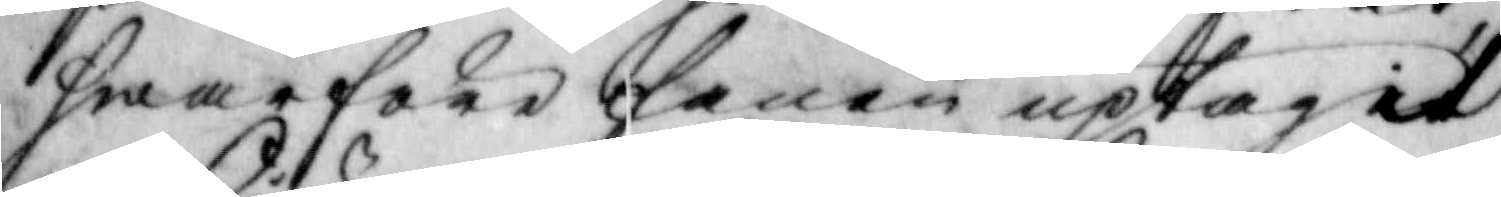hwarföre fanen uptagit
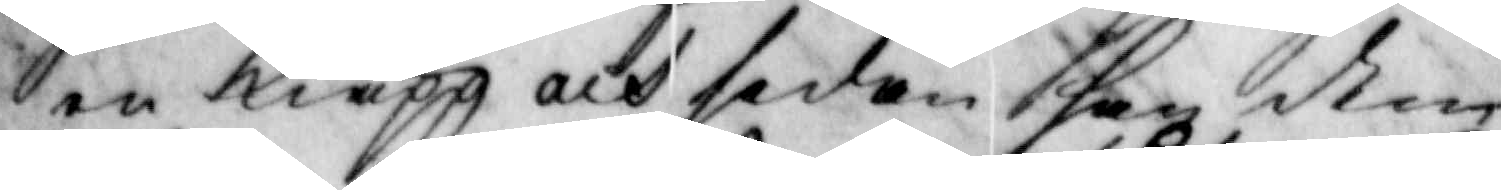en Kiäpp och sedan han den
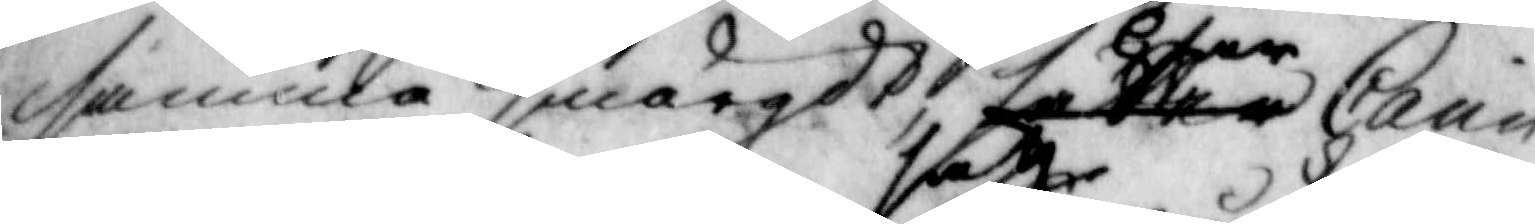samma smörgdt satte har Carin
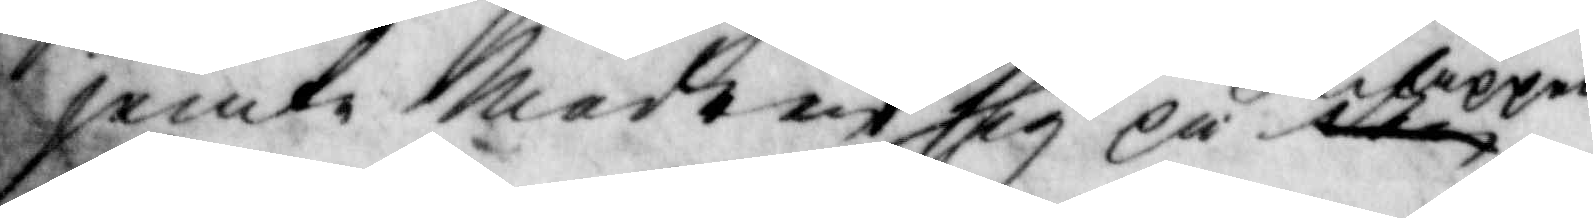jemte Modren satt sig på kiäppen
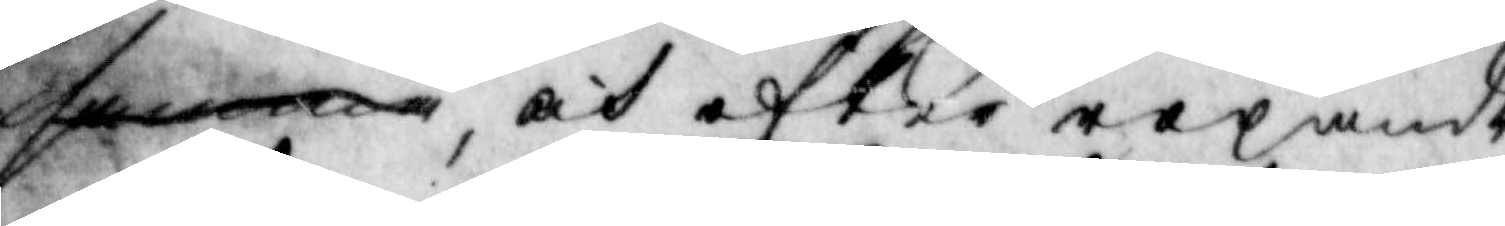samma, at efter ropande
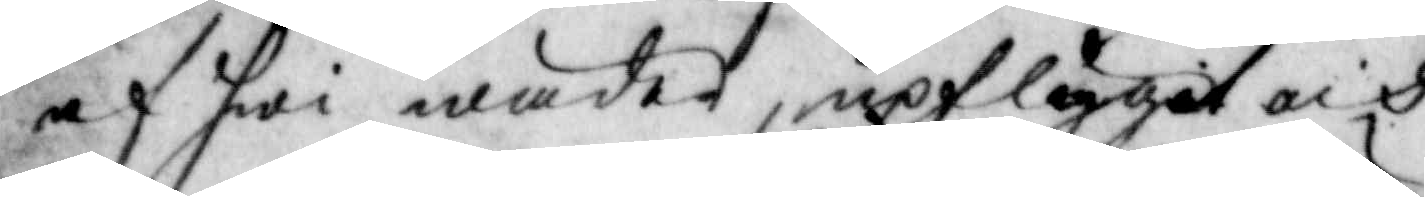af hwi wäder, upflyget och
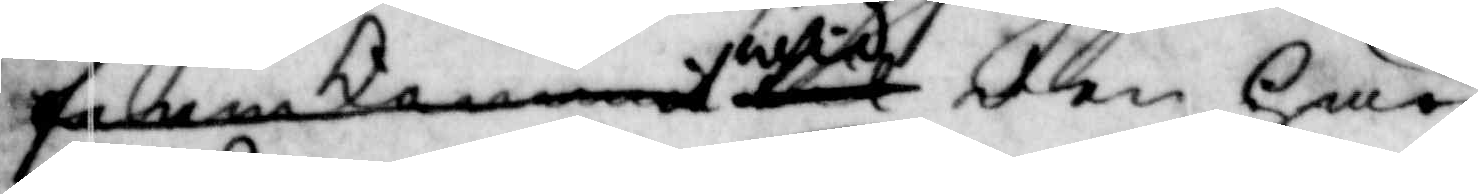framkommit til wid den här
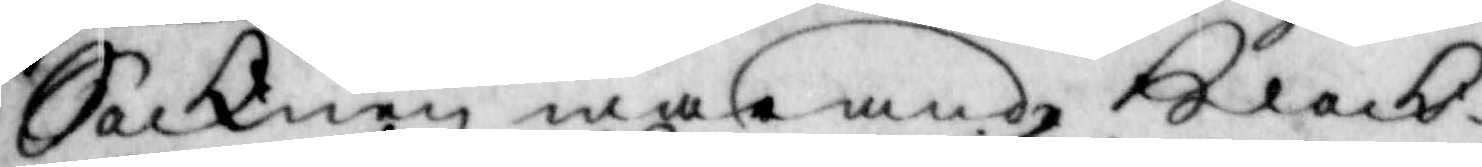Socknen warande klock¬
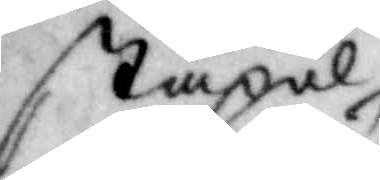stapel
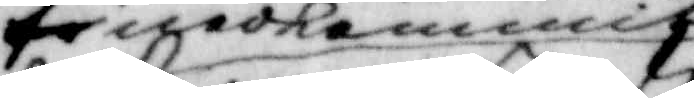tenadkommit
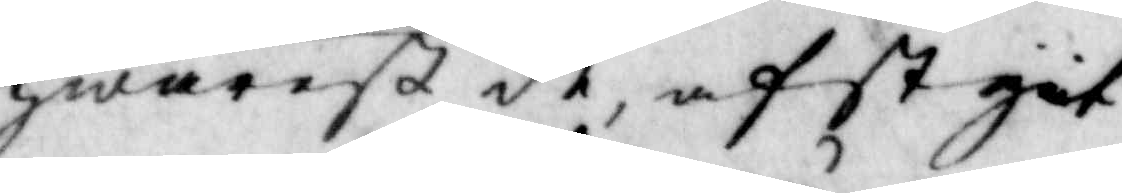hwarest de, afstgöt
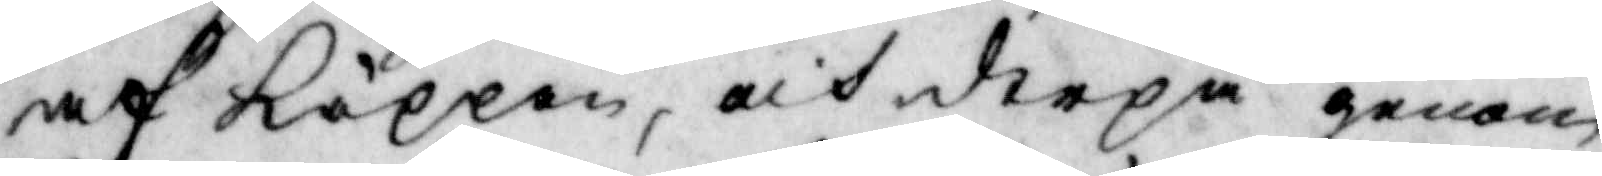af käppen, och derpå genom
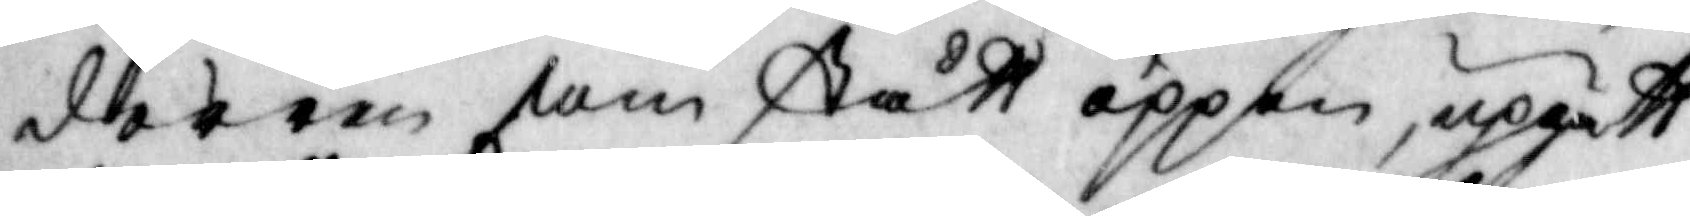dörren som stått öppen, uppgått
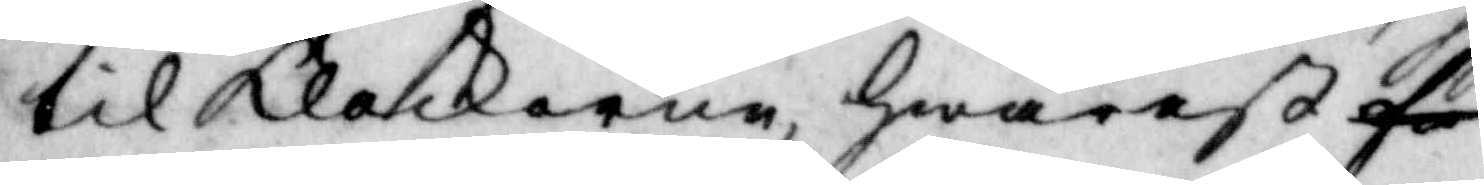till klockorna hwarest få
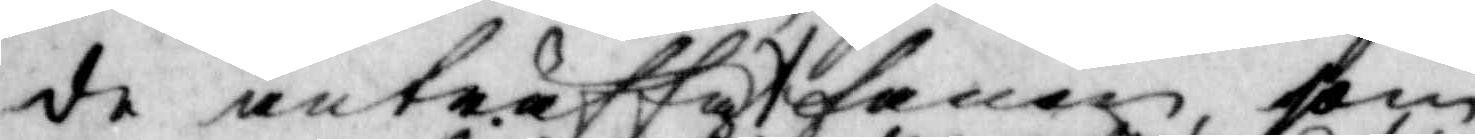de anträffat fanen som
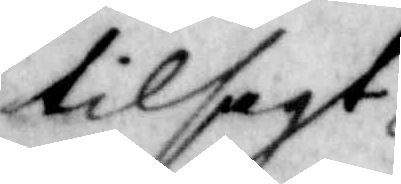tilsagt
